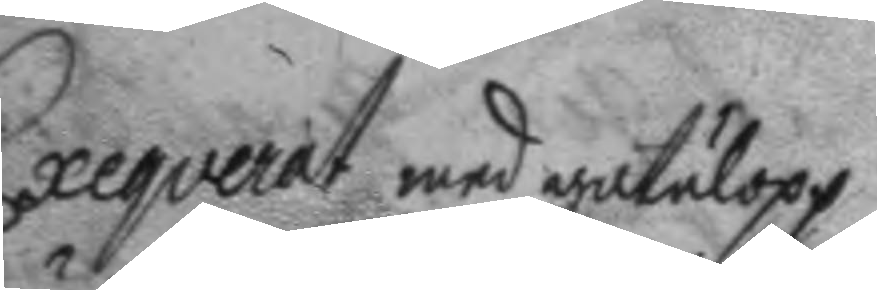Exeqverat med gatulopp
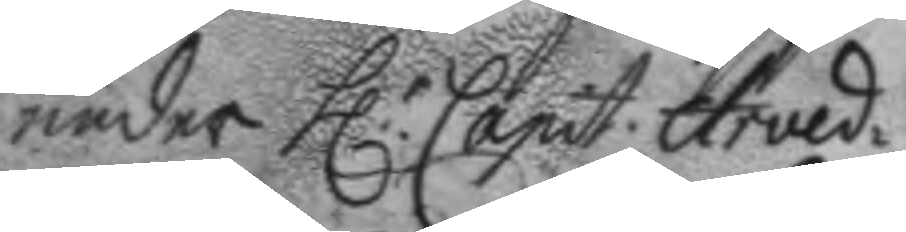under h.r Capit. Arved¬
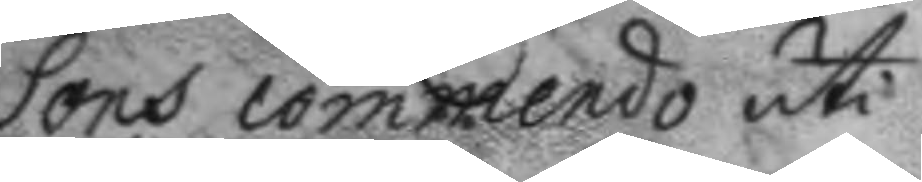Sons commendo uti
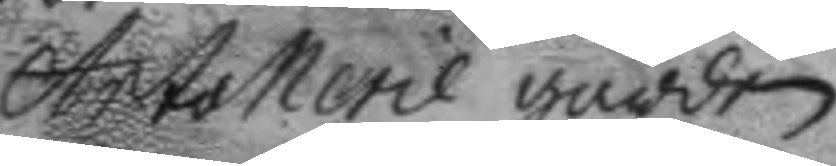Artollerie gården
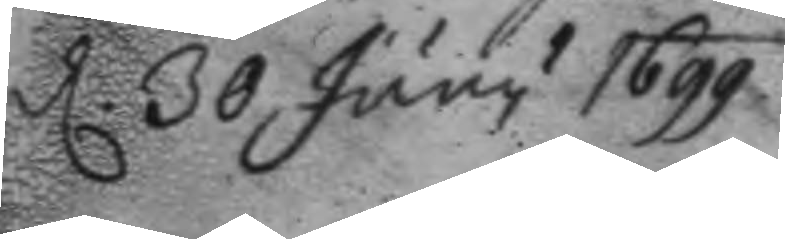d. 30 Juny 1699.
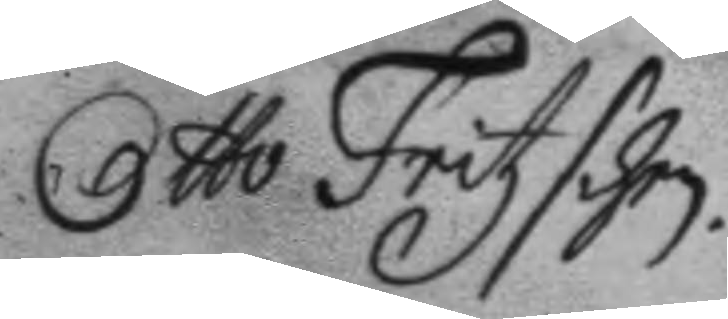Otto Fritzshen.
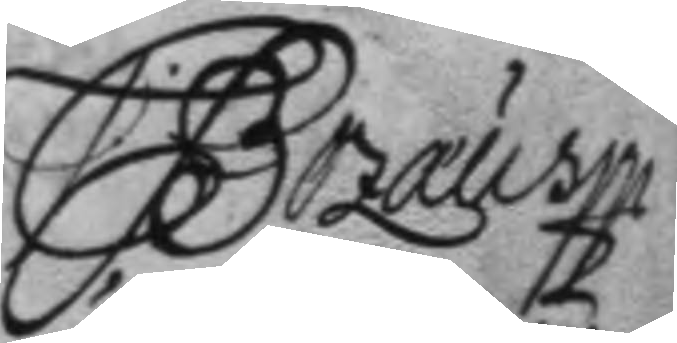C Bozæus
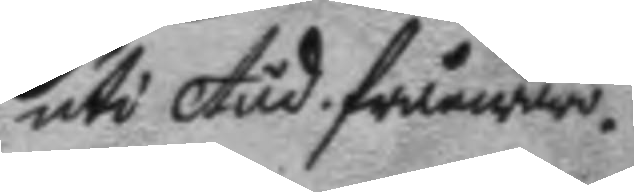uti Aud. frånwaro.
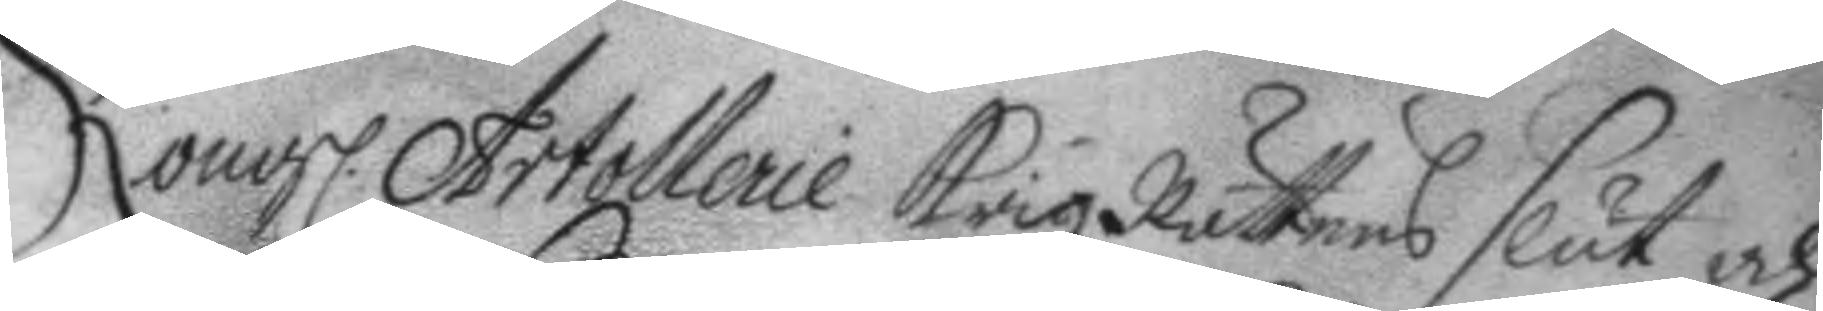Kongl. Artollerie KrigzRättens slut och
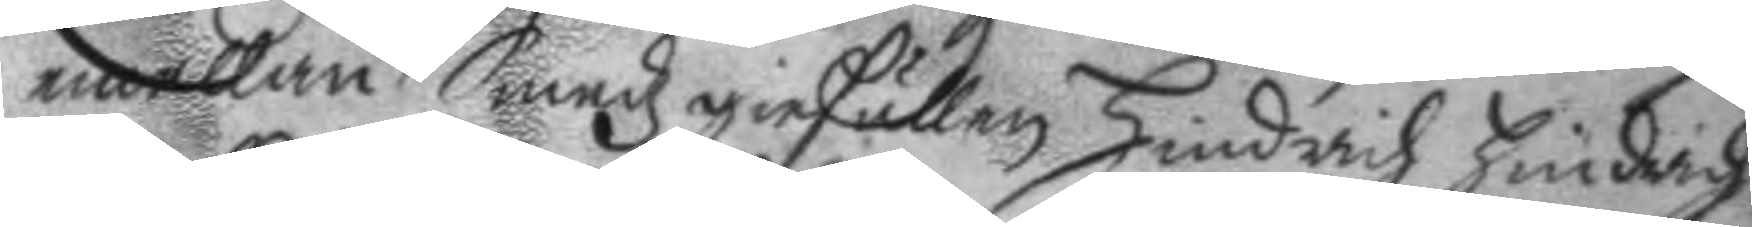emellan Smedzgiesällen Hindrich Hindrich¬
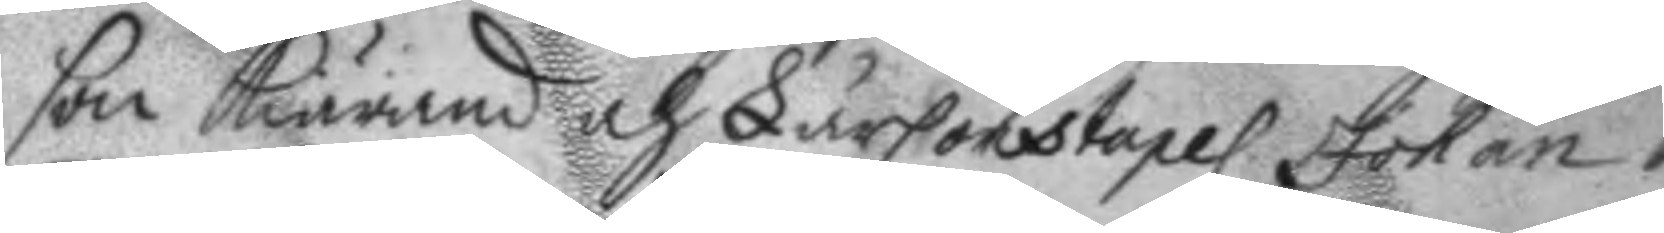son kiärande och LärConstapel Johan
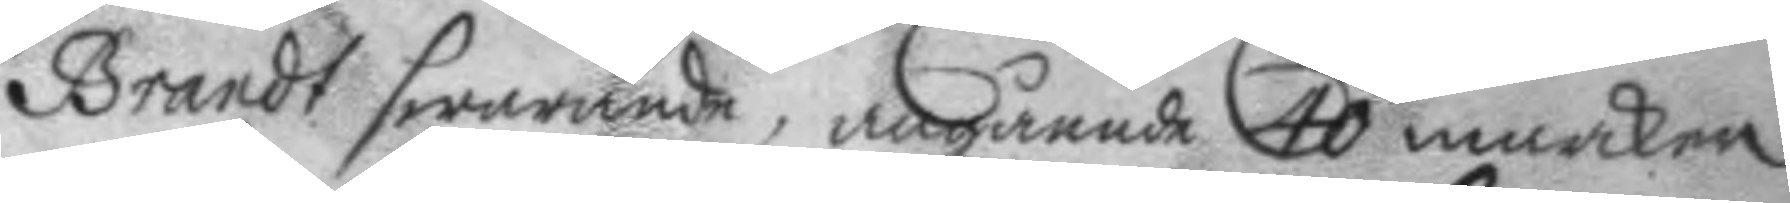Brandt swarande, angående 40 marker
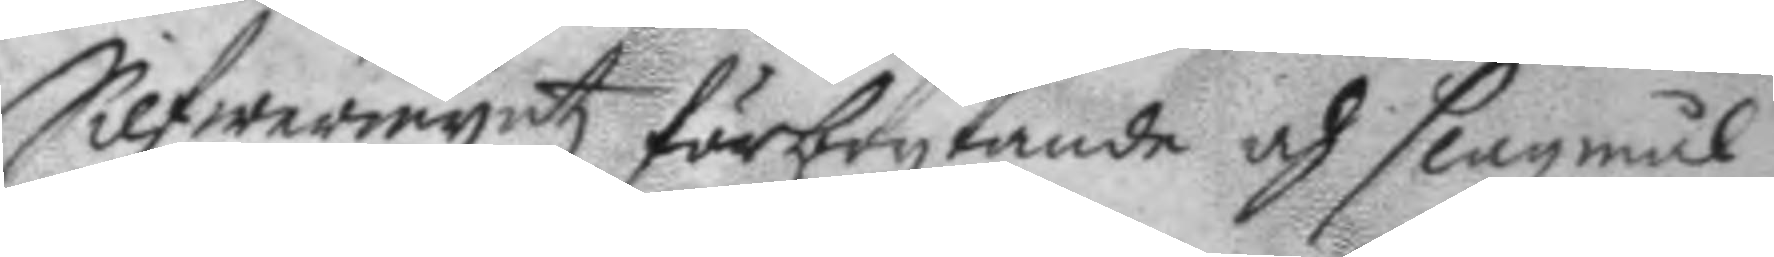Silfwermyntz förbrytande och slagsmål
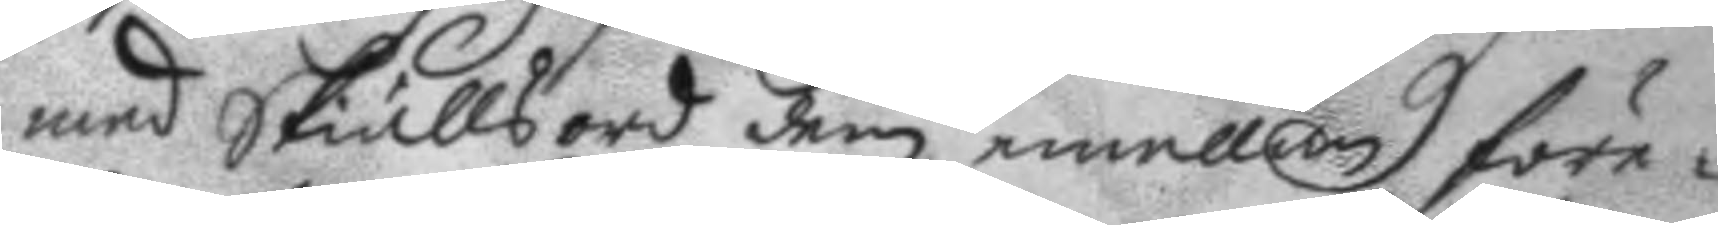med Skiällsord dem emellan före¬
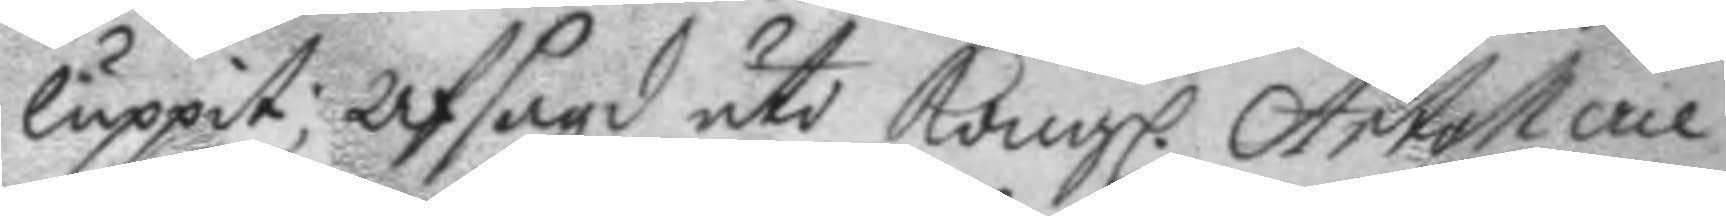luppit; afsagd uti Kongl. Artollerie
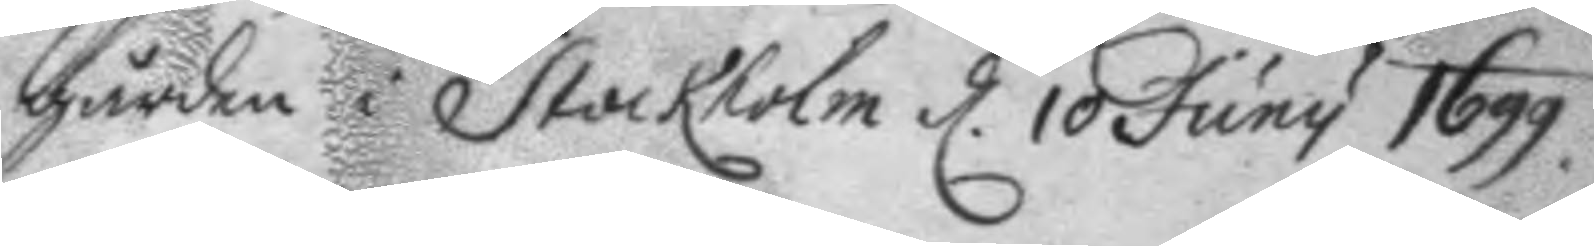gården i Stockholm d. 10 Juny 1699.
